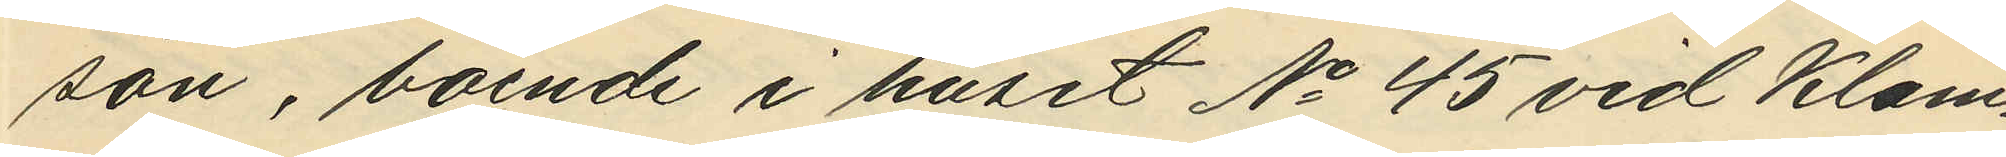son, boende i huset No 45 vid Klam¬
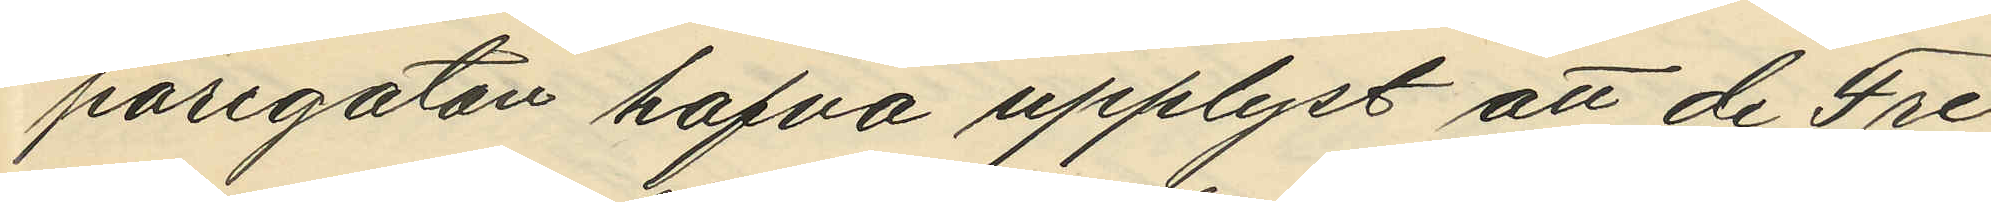paregatan hafva upplyst att de Fre¬
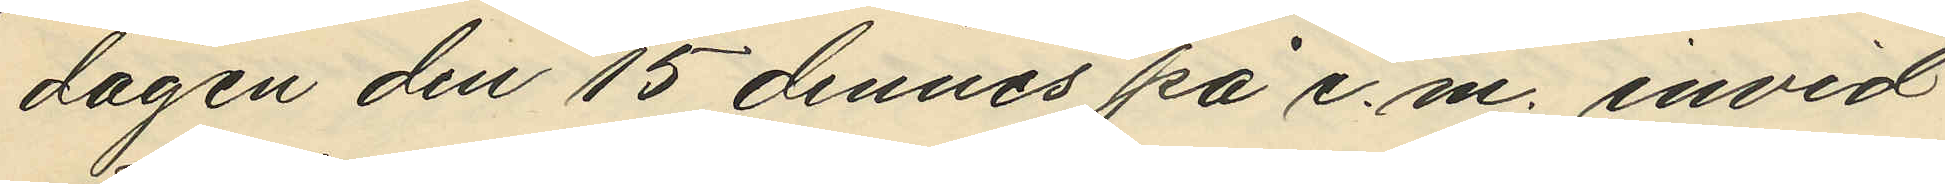dagen den 15 dennes på e.m. invid
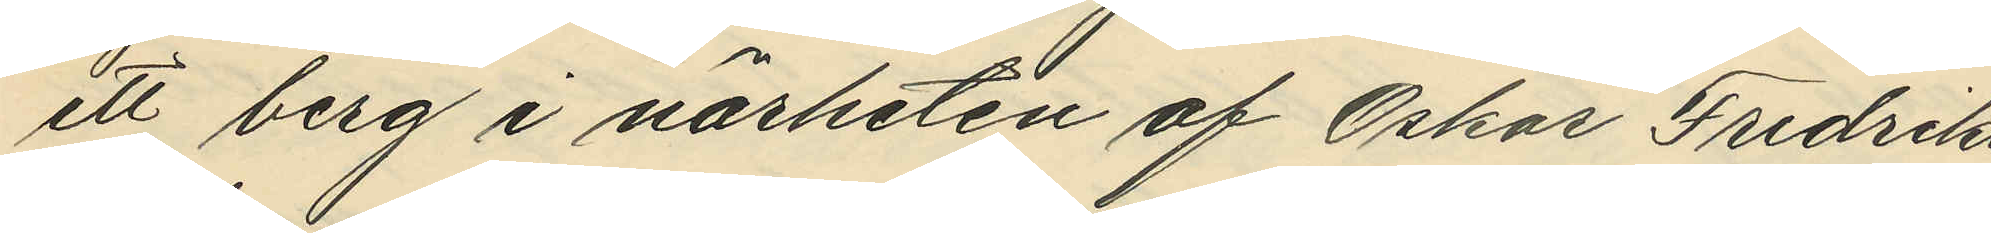ett berg i närheten af Oskar Fredriks
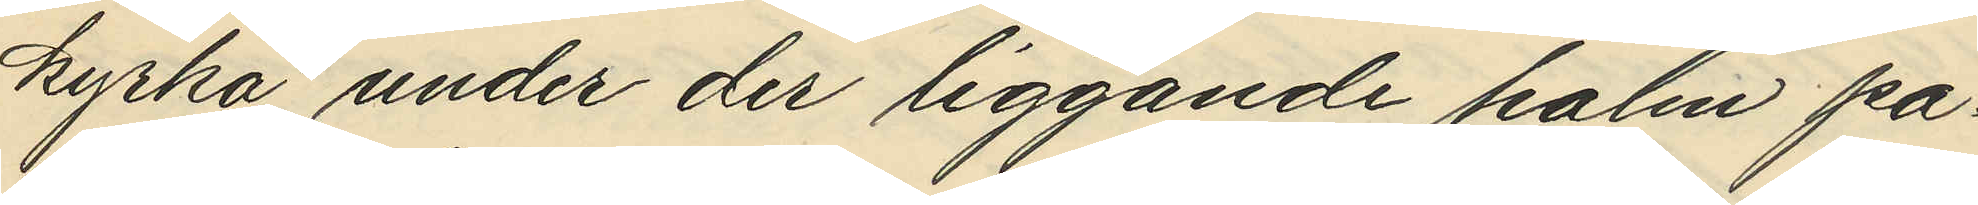kyrka under der liggande halm på¬
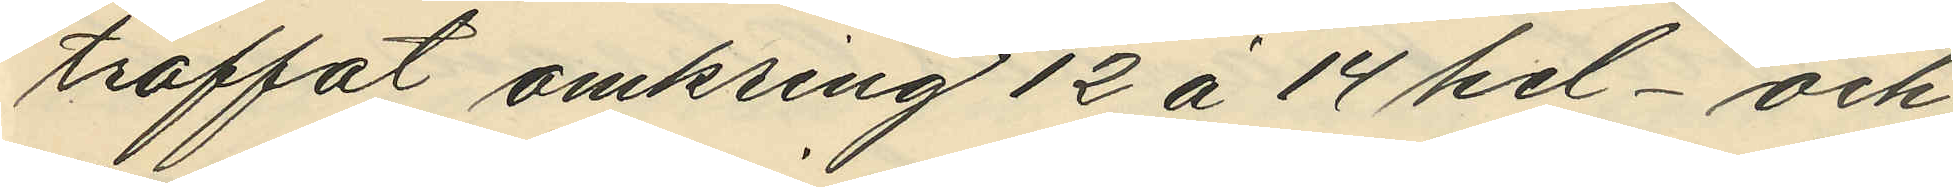träffat omkring 12 à 14 hel- och
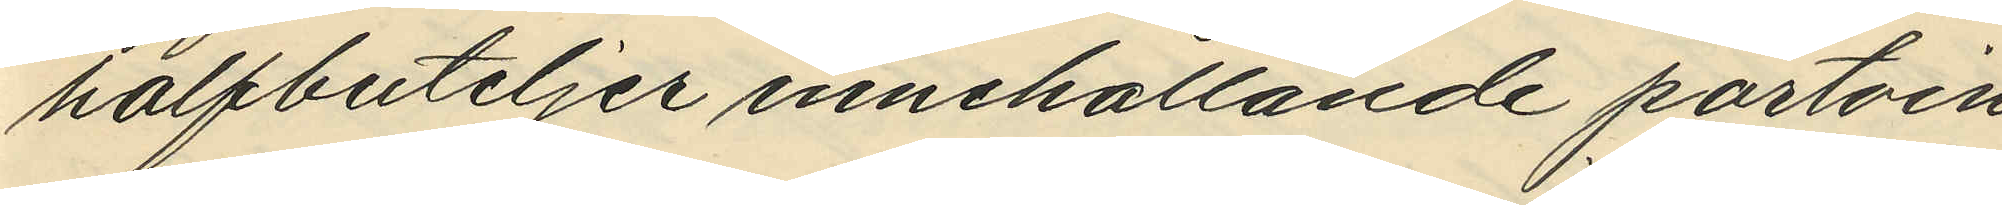halfbuteljer innehållande portvin
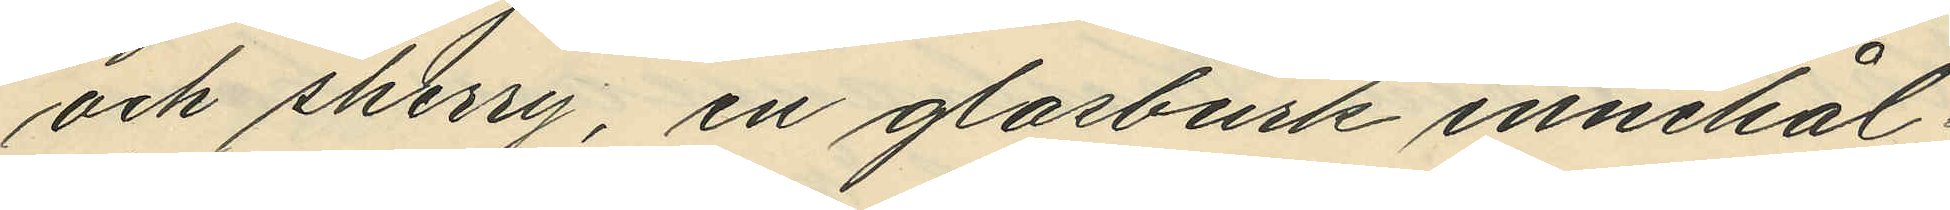och sherry, en glasburk innehål¬
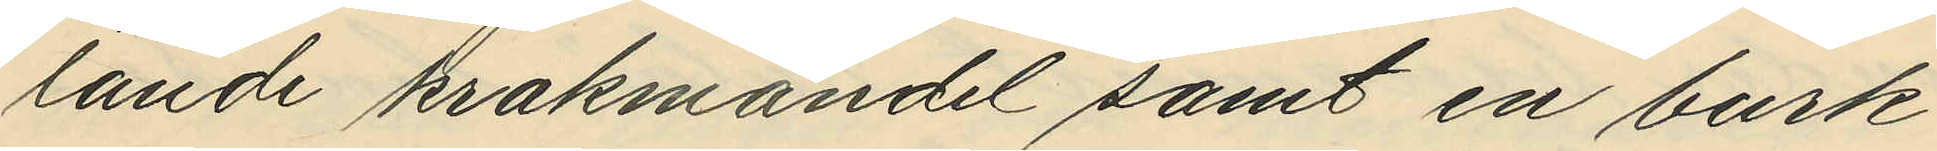lande krakmandel samt en burk
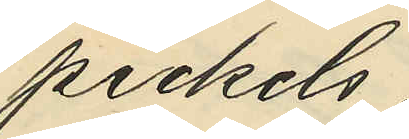pickels;
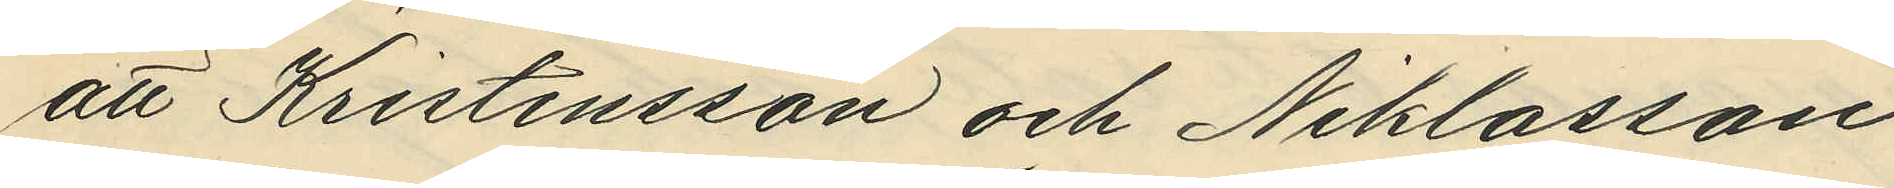att Kristensson och Niklasson
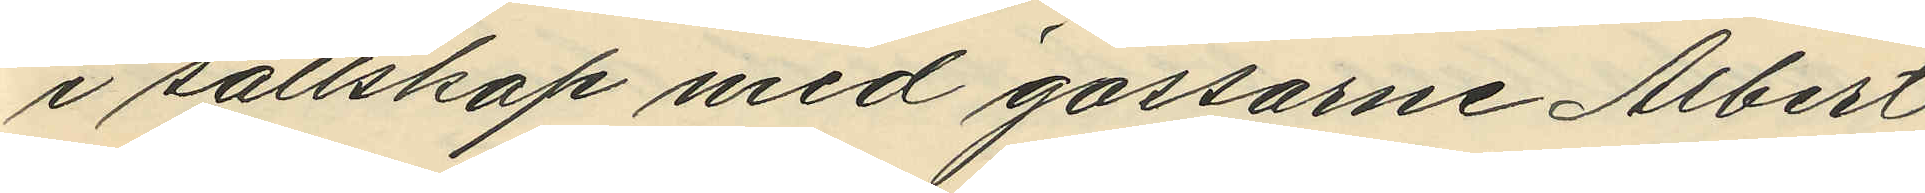i sällskap med gossarne Albert
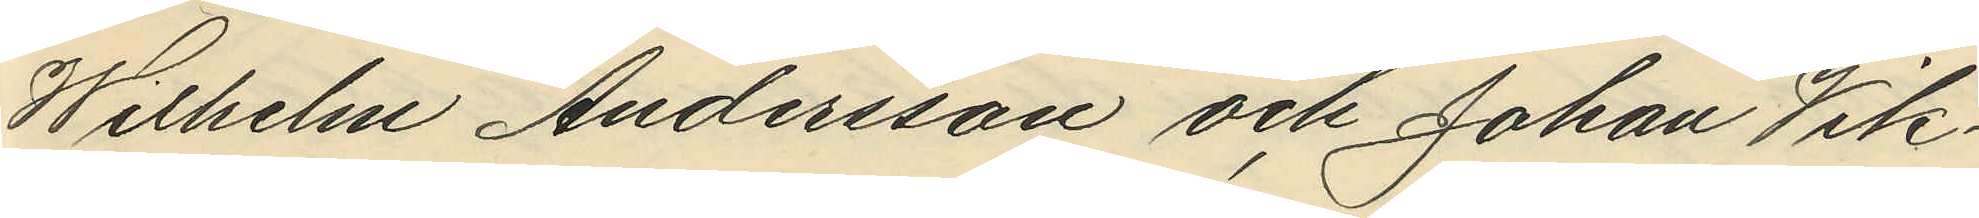Wilhelm Andersson och Johan Vik¬
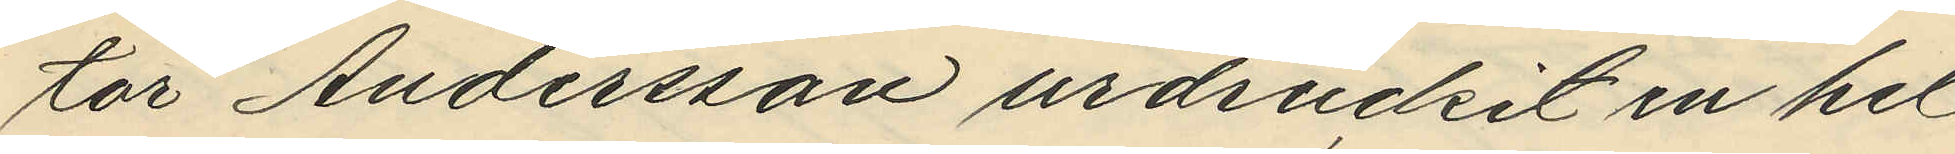tor Andersson urdruckit en hel
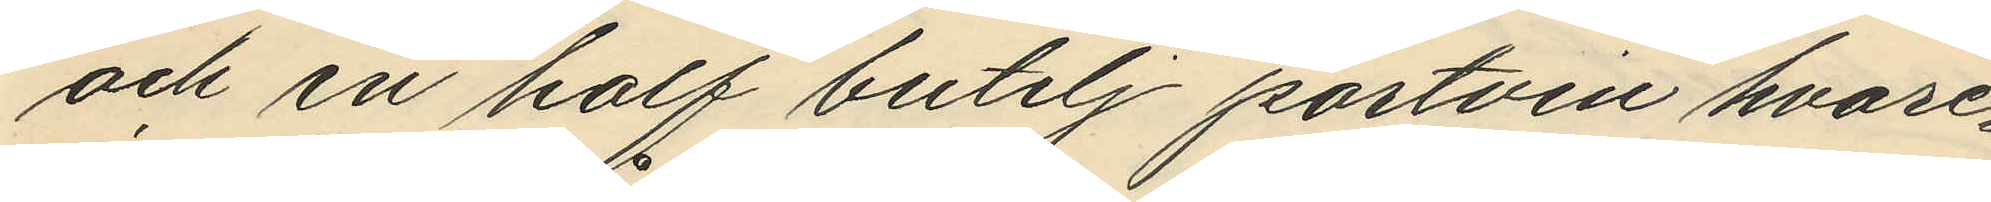och en half butelj portvin hvare¬
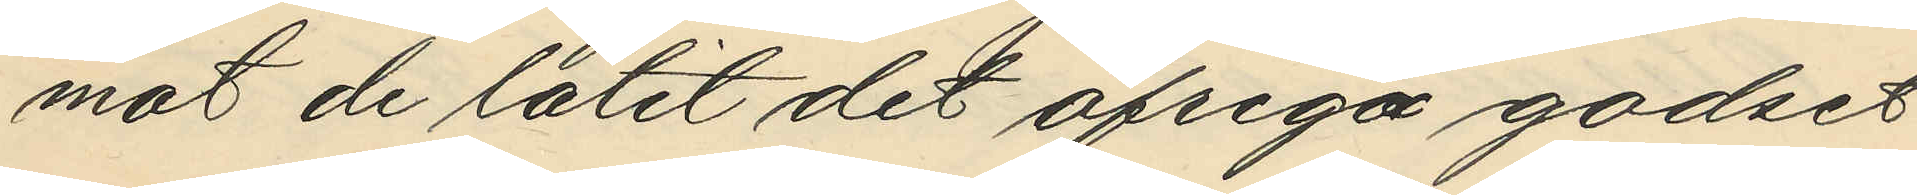mot de låtit det ofriga godset
